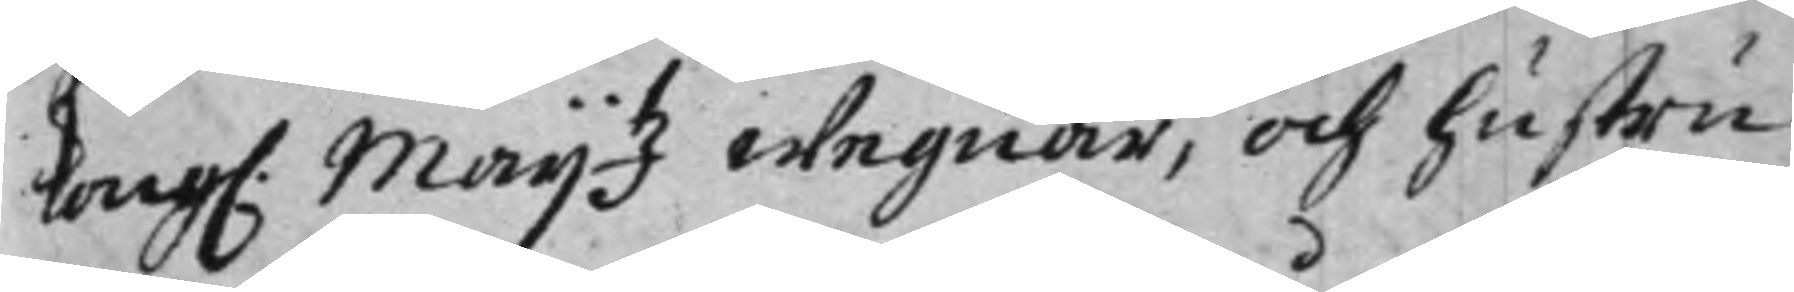Kong: Maij.tz Wegnar, och hustru
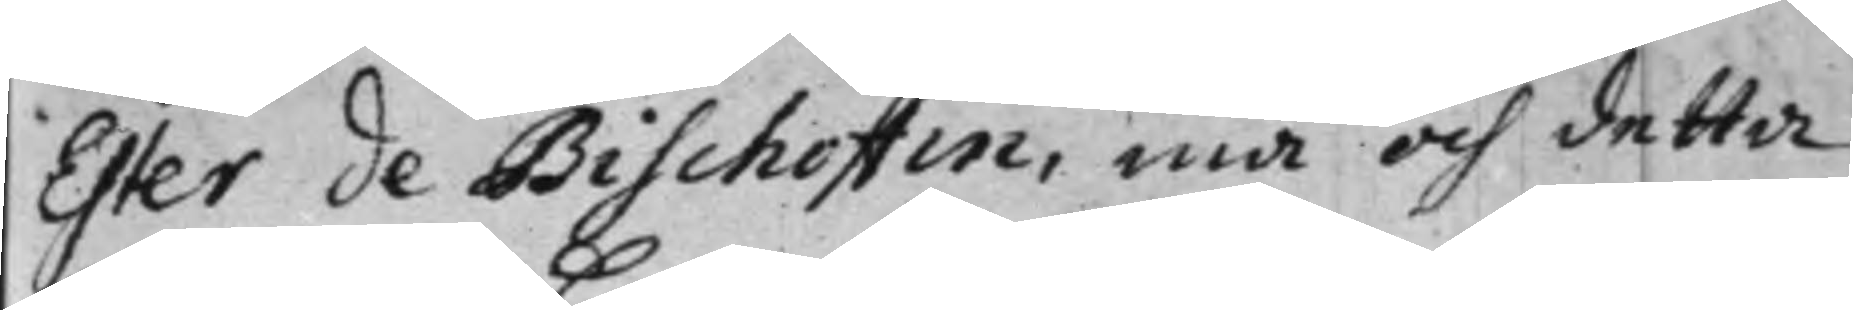Ester de Bischoffin, må och detta
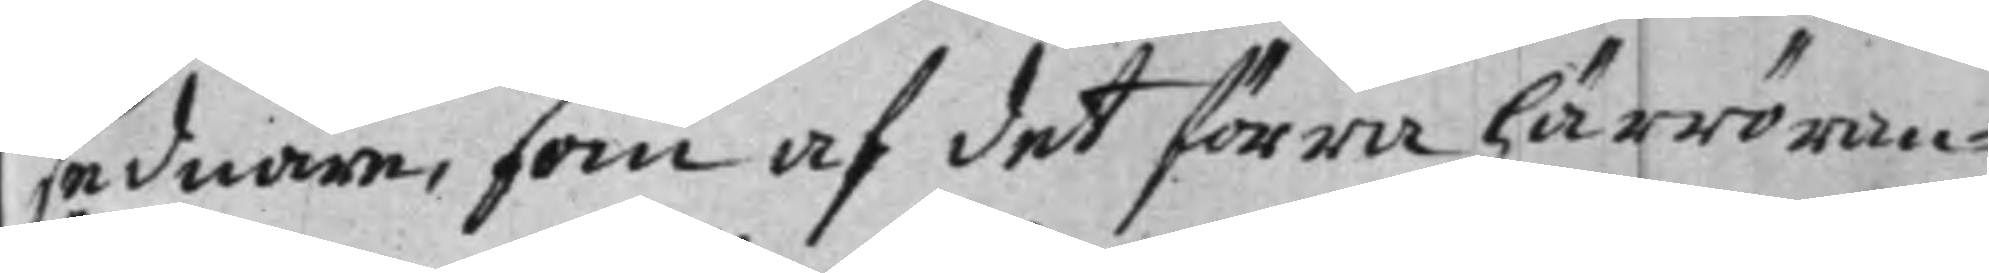sednare, som af det förra härröran¬
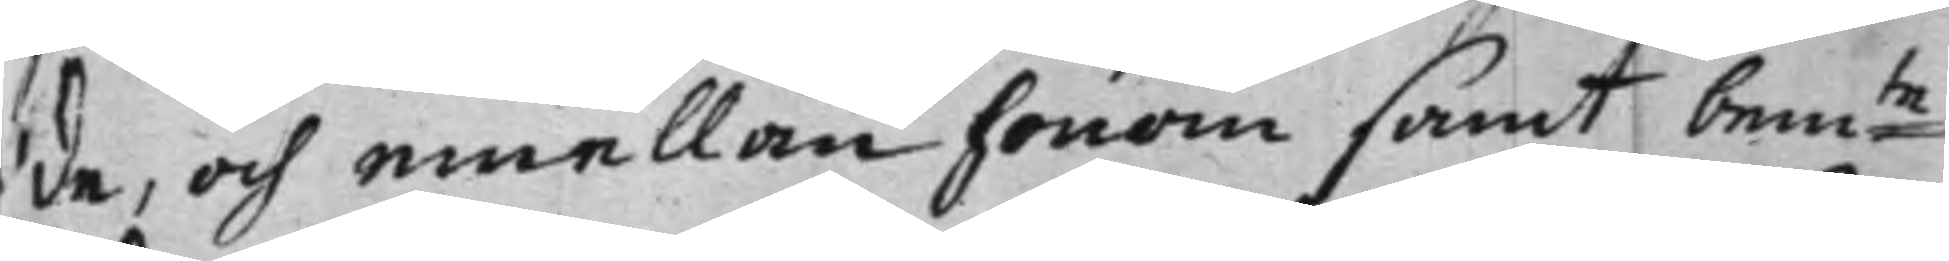de, och emellan honom samt bem:te
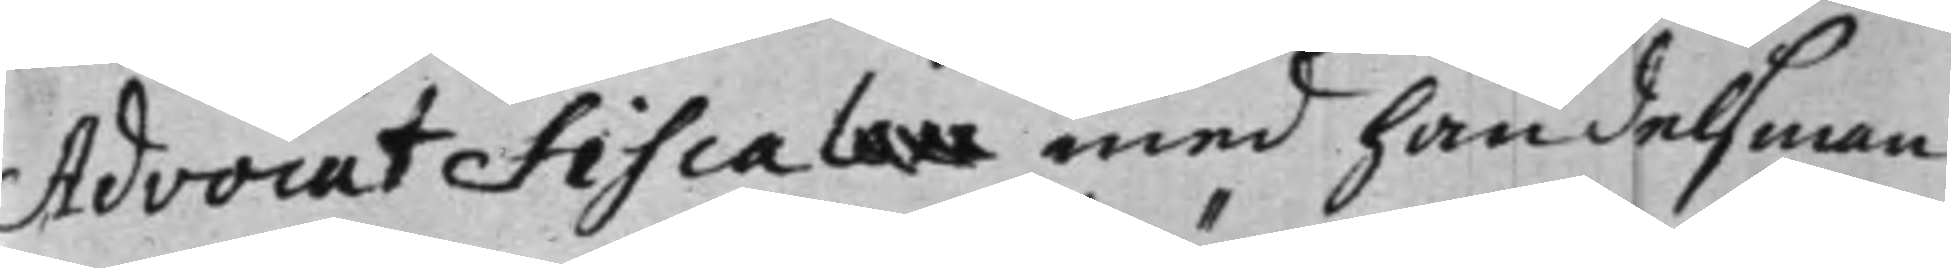Advocat Fiscalen med handelsman
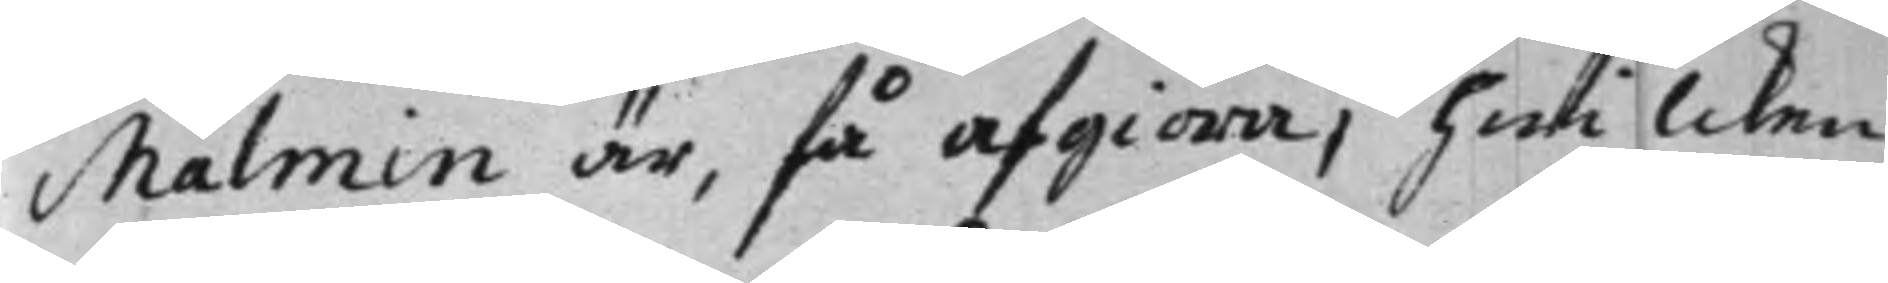Malmin är, få afgiöra, hwilcken
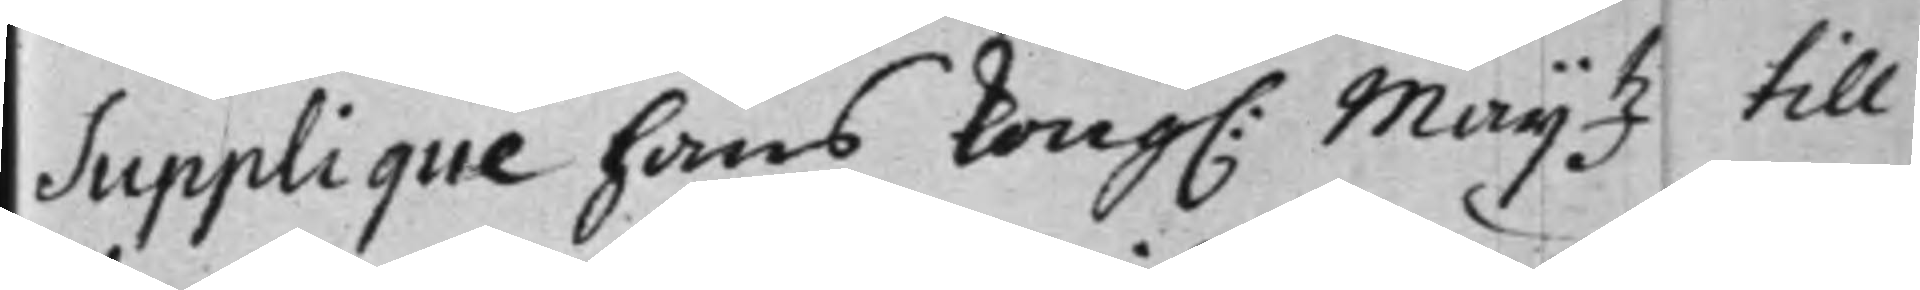Supplique hans Kong: Maij.tz till
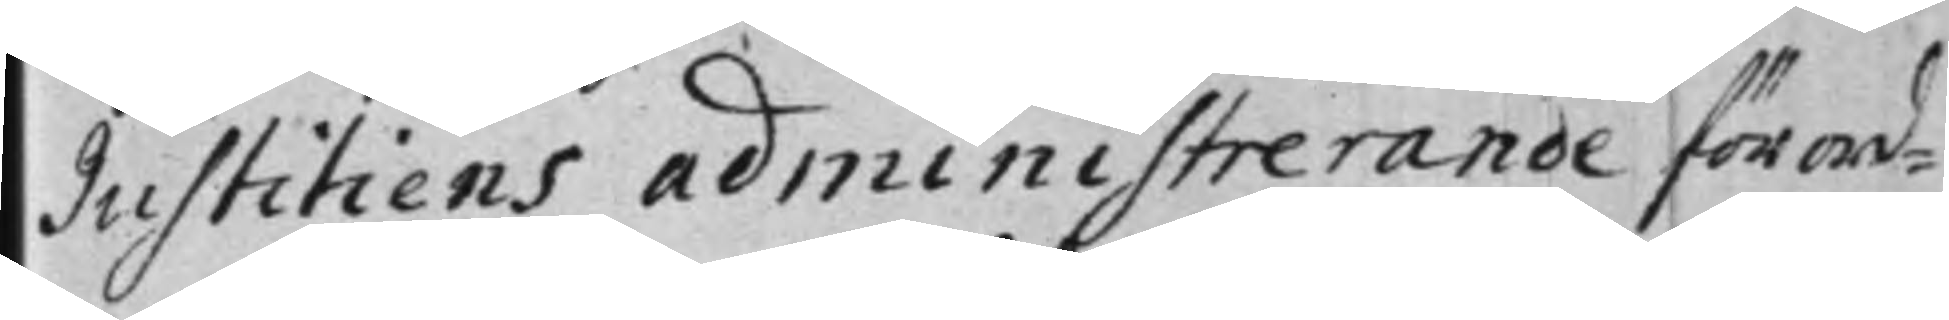Justitiens administrerande förord¬
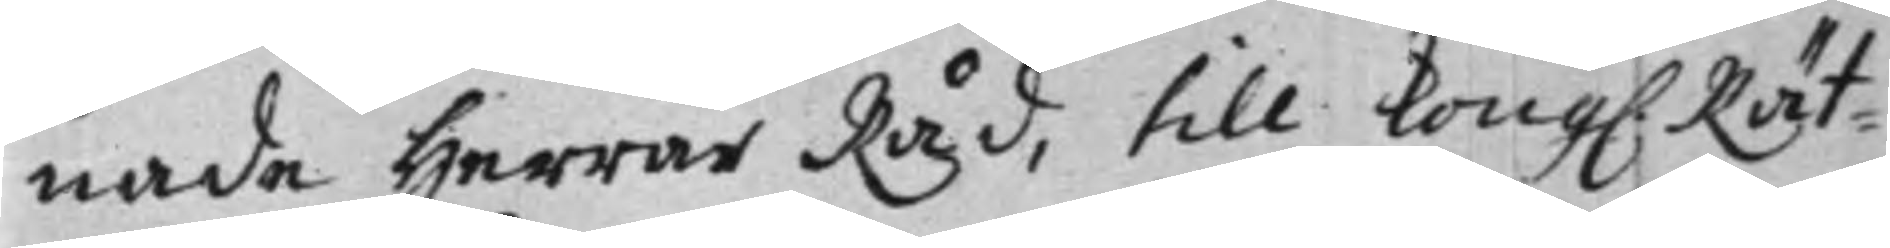nade Herrar Råd, till Kong: Rät¬
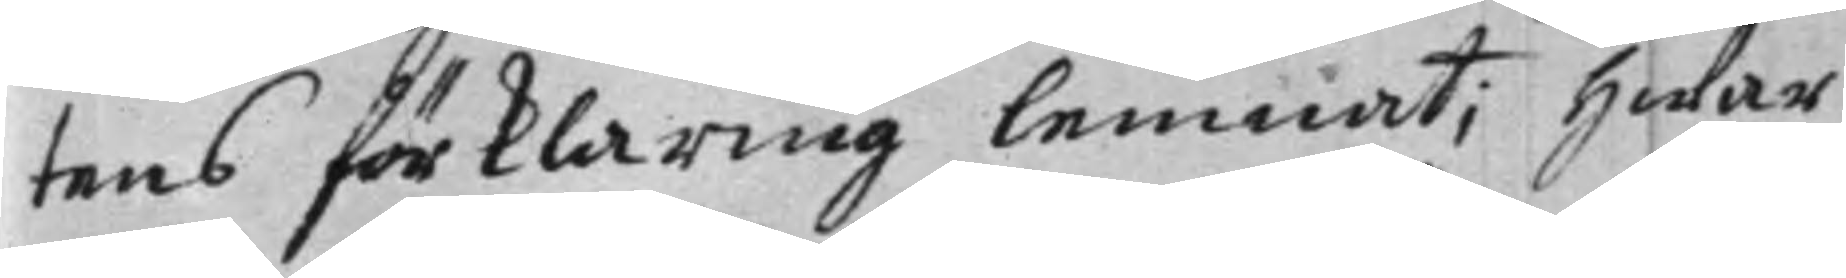tens förklaring lemnat; Hwar
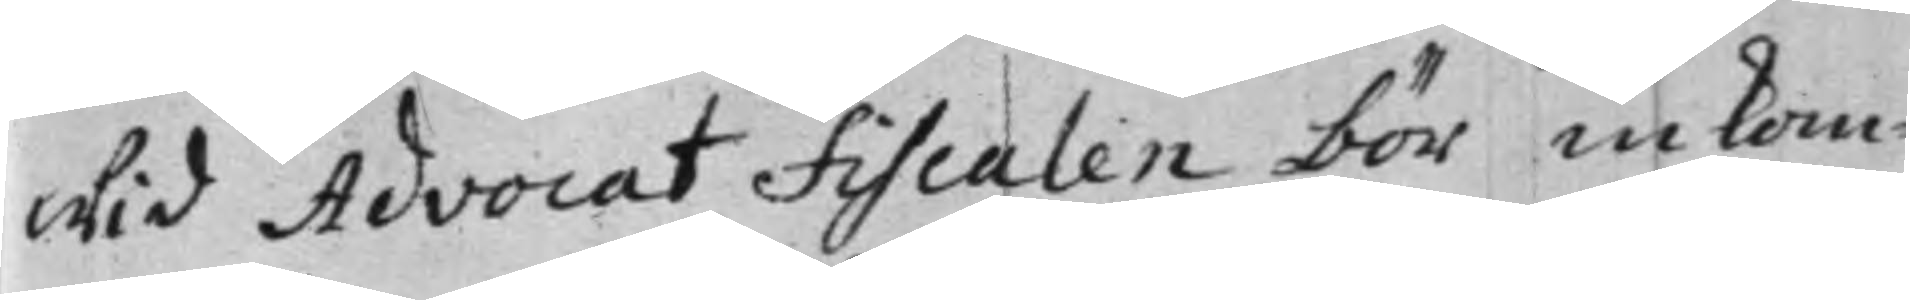wid Advocat Fiscalen bör inkom¬
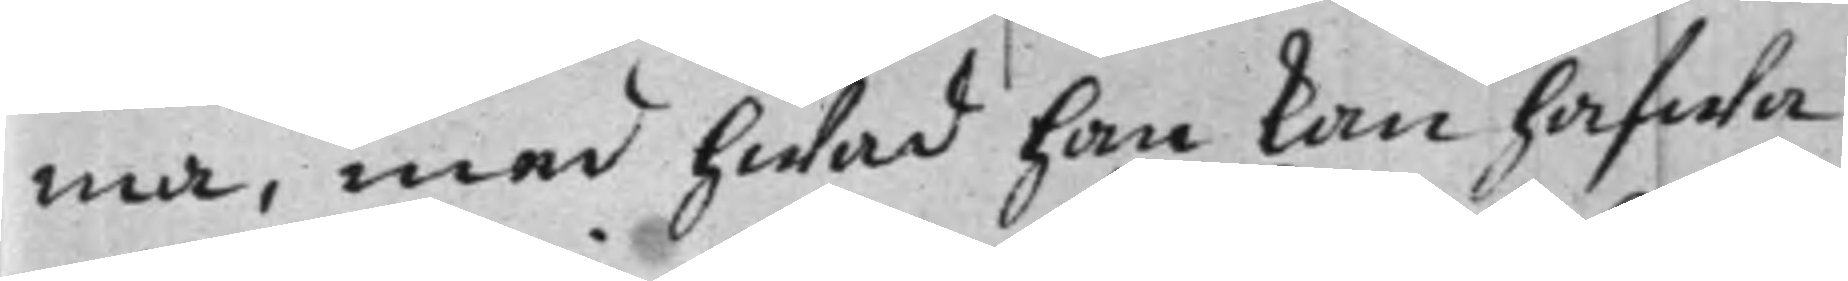ma, med hwad han kan hafwa
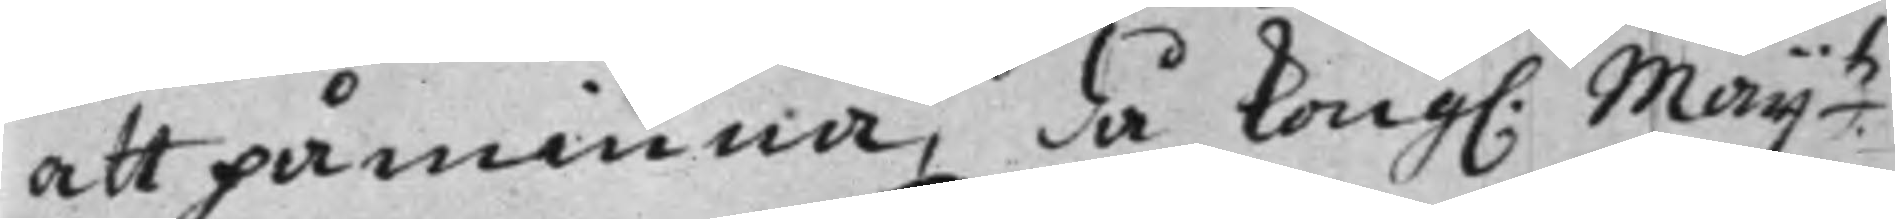att påminna, då Kong: Maij.tz
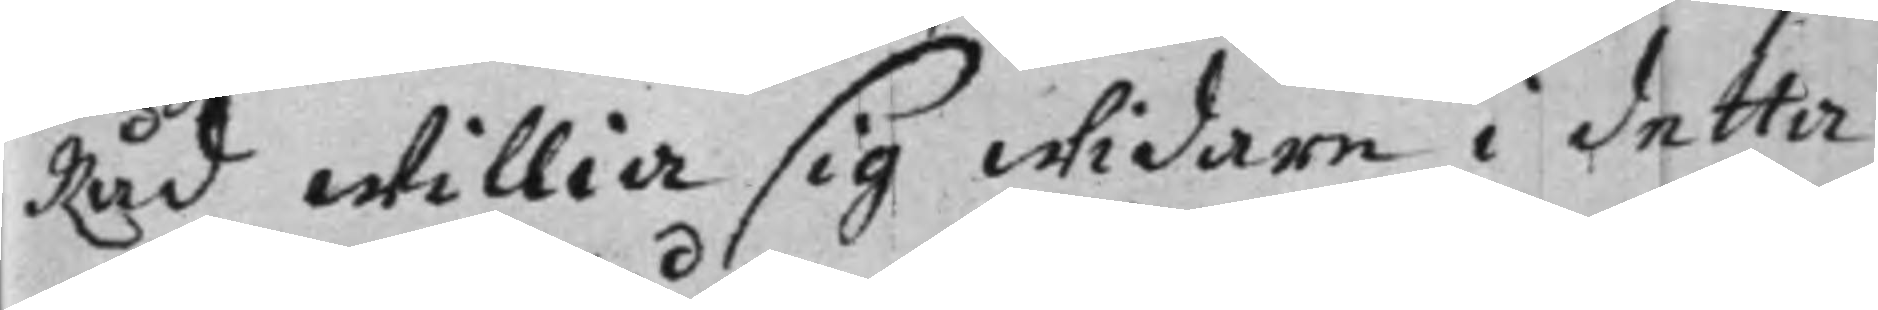Råd willia sig widare i detta
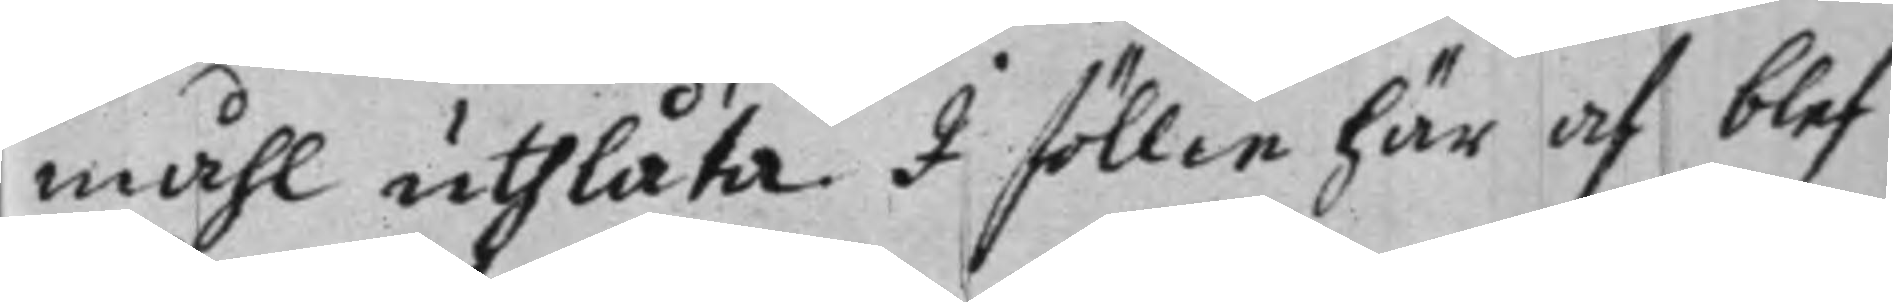måhl uthlåta. I föllie här af blef
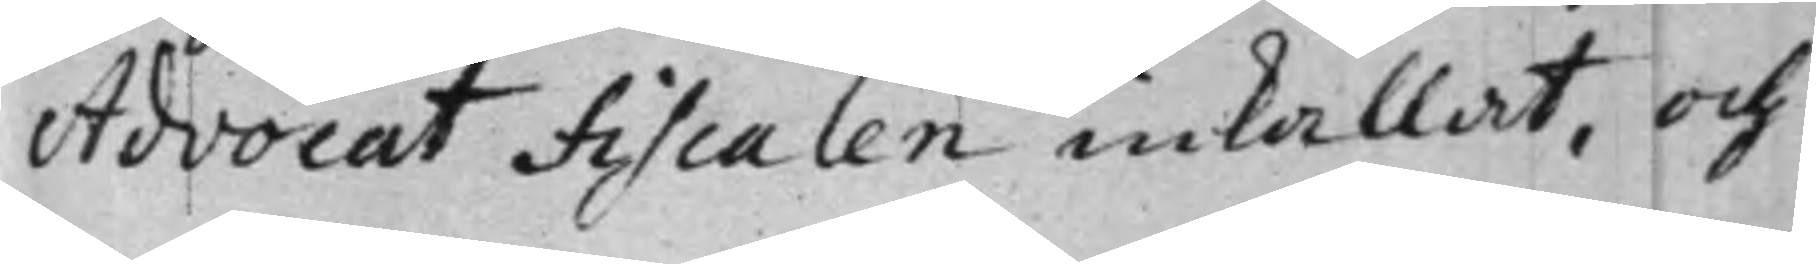Advocat Fiscalen inkallat, och
